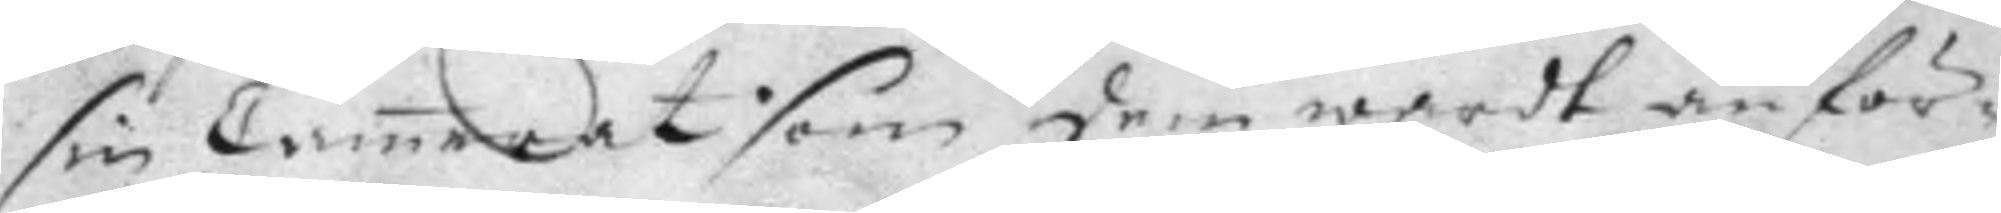sin Camrat som dem wardt anför¬
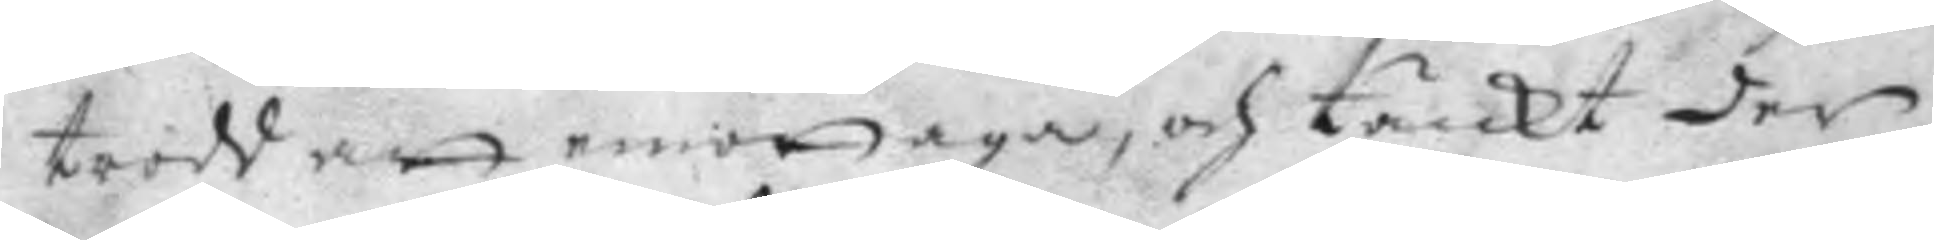trodd att emottaga, och tänckt der
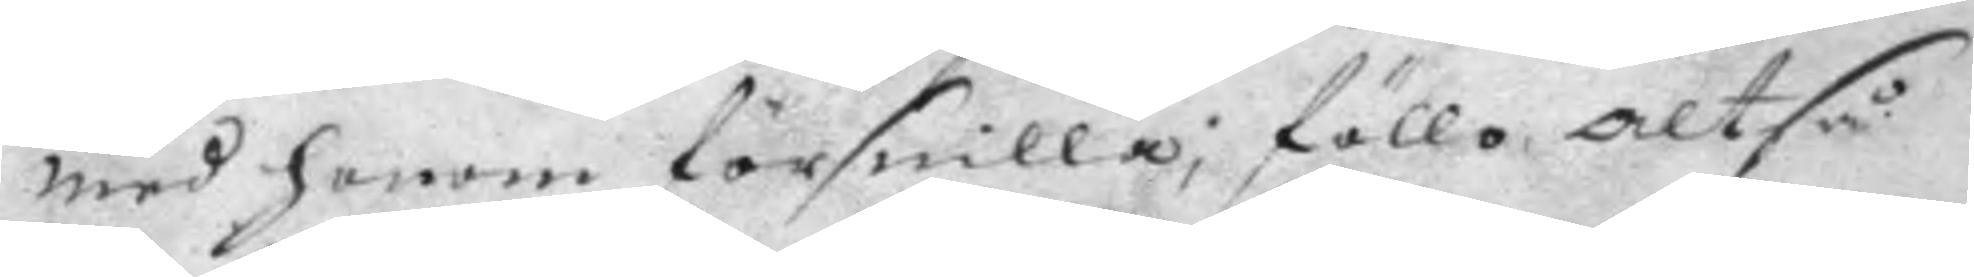med honom försnilla; föllo, Altså
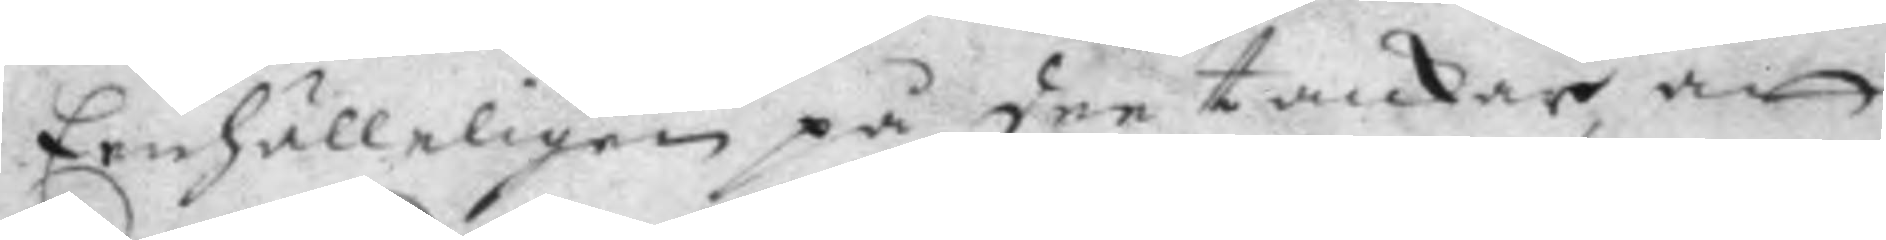Eenhälleligen på dee tanckar, att
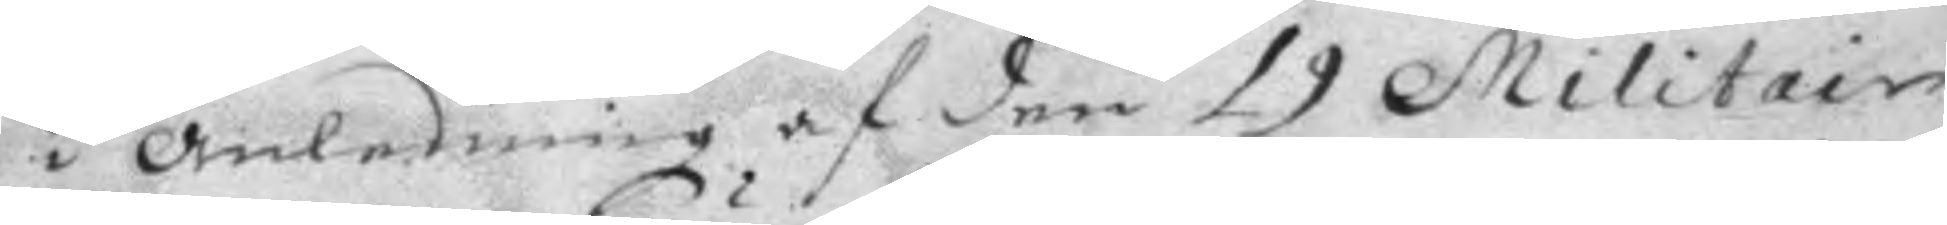i anledning af den 19 Militair
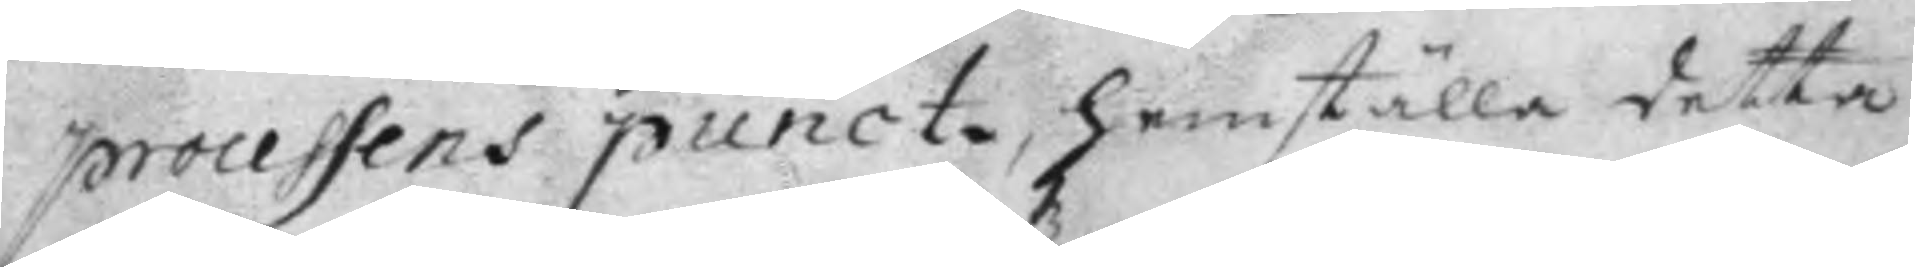processens punct, hemställa detta
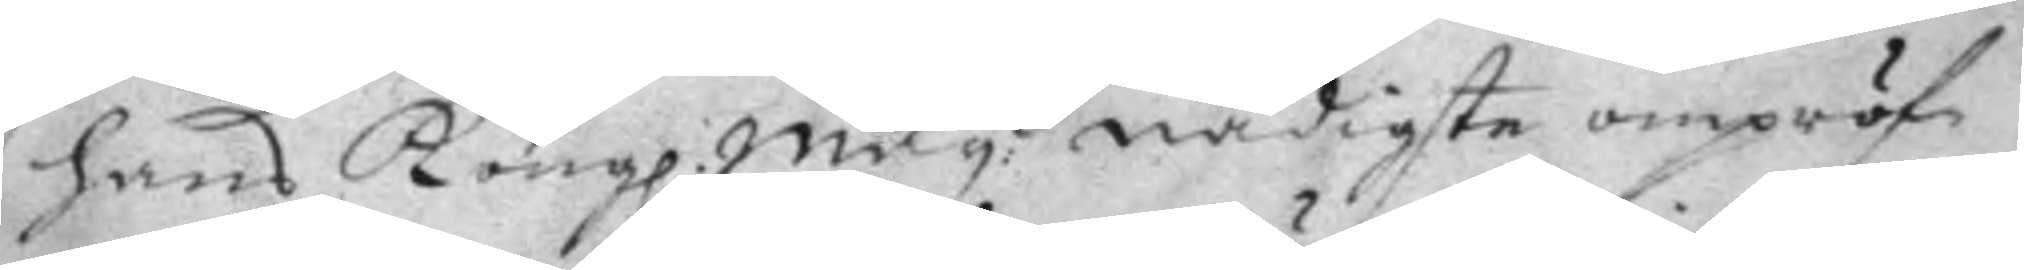hans Kong. Maytz nådigste ompröf¬ 
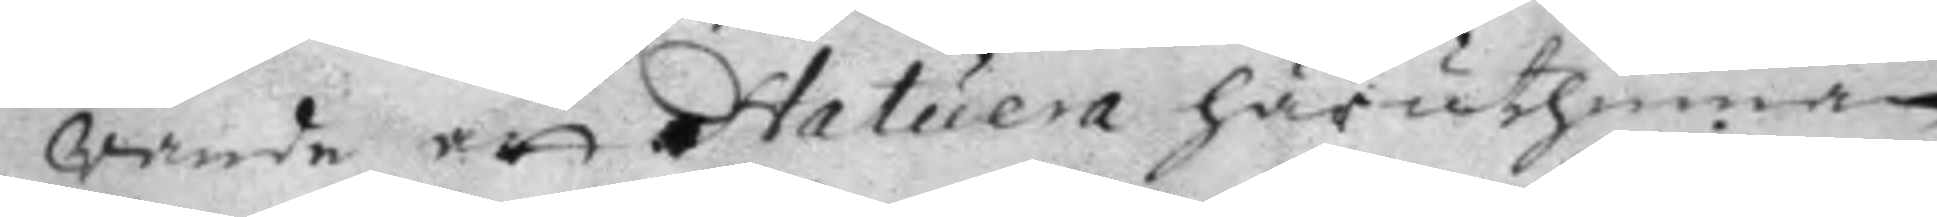vande att statuera häruthinnan
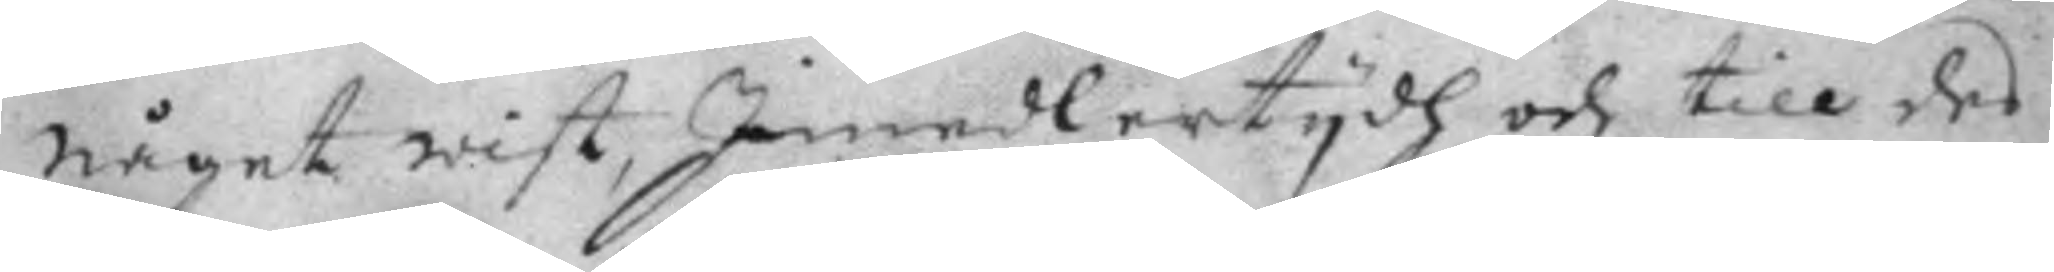något wist, Imedlertydh och till des
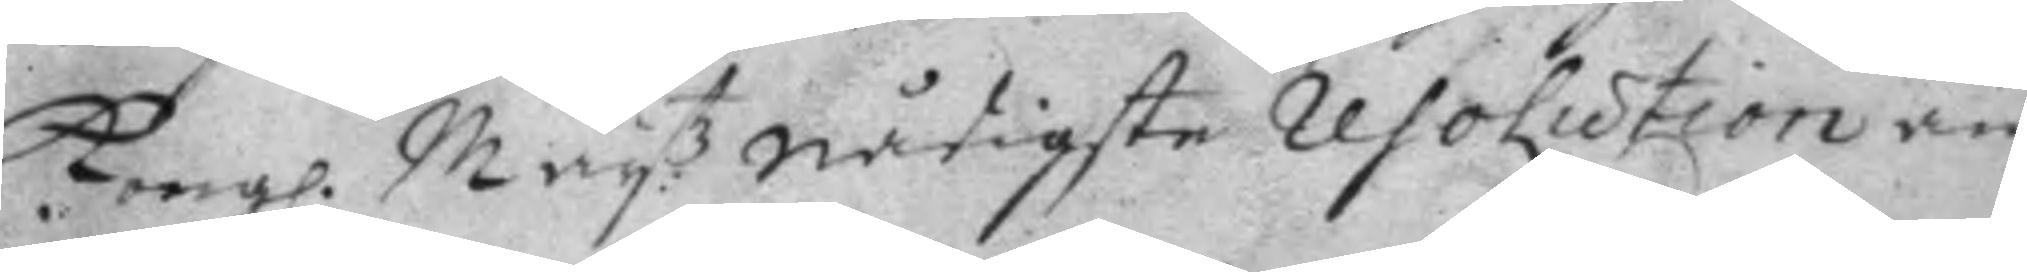Kong. May.tz nådigste resolution an¬ 
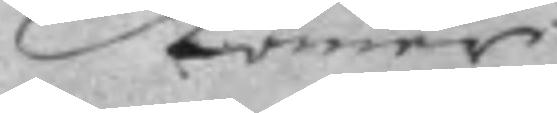kommer
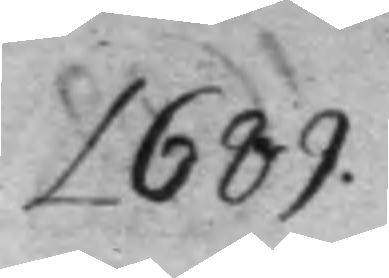1689
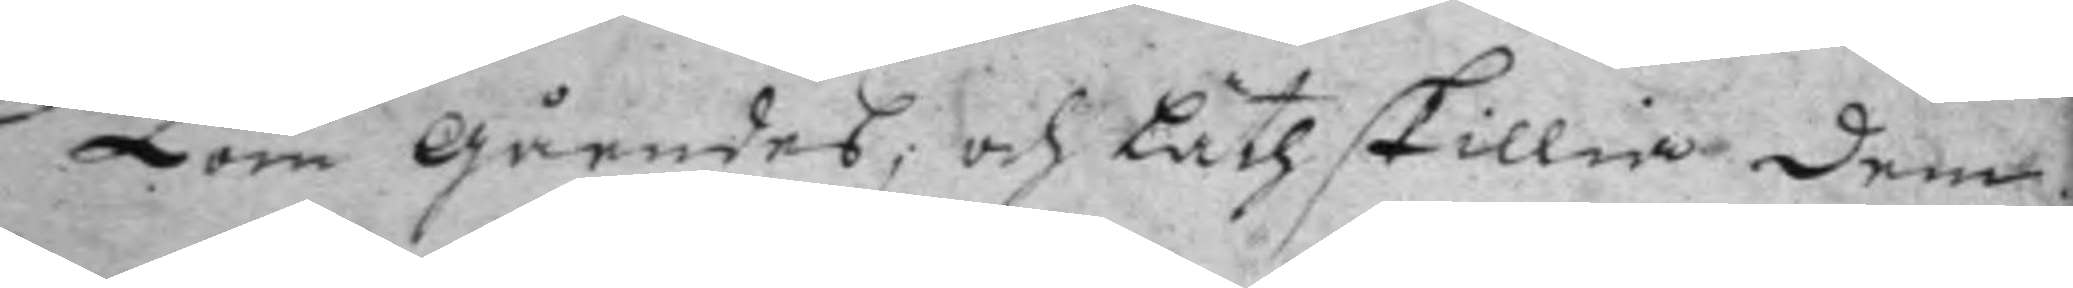Kom gåendes; och Läth skillia dem
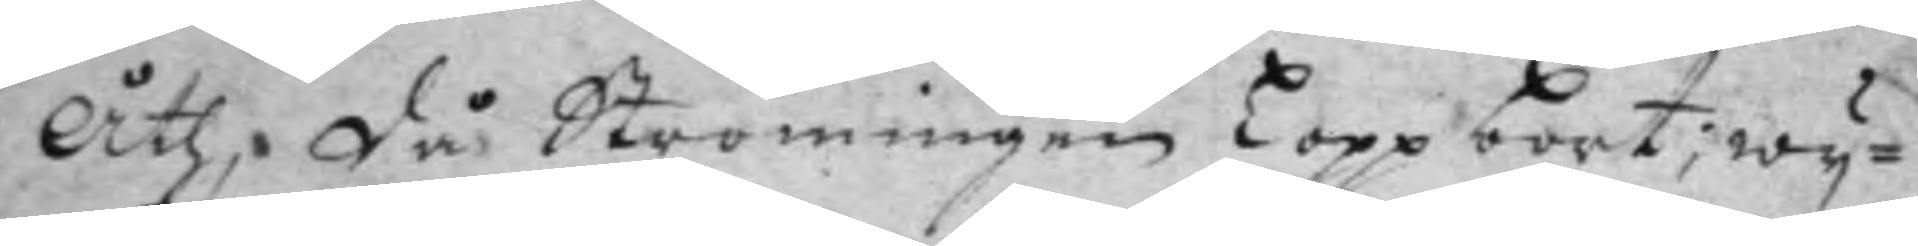åth, då Strömingen Lopp bort; wy¬
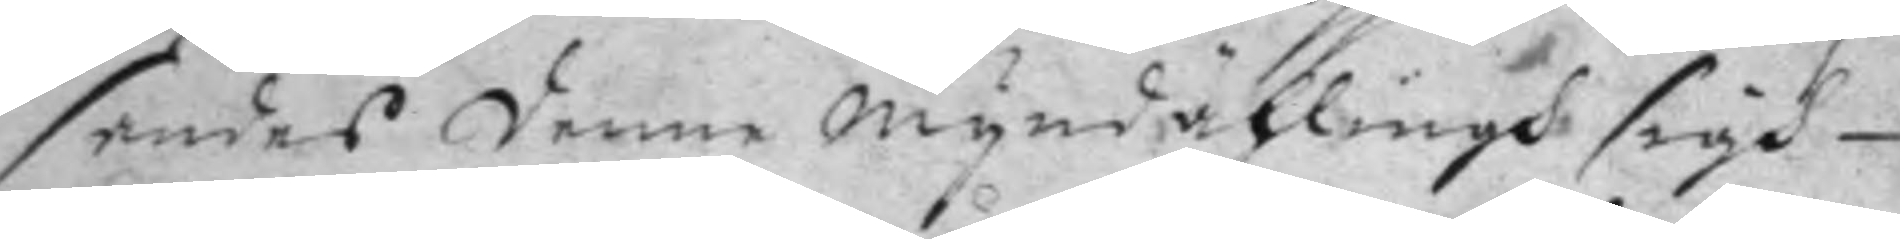sandes denne myndählning sigh
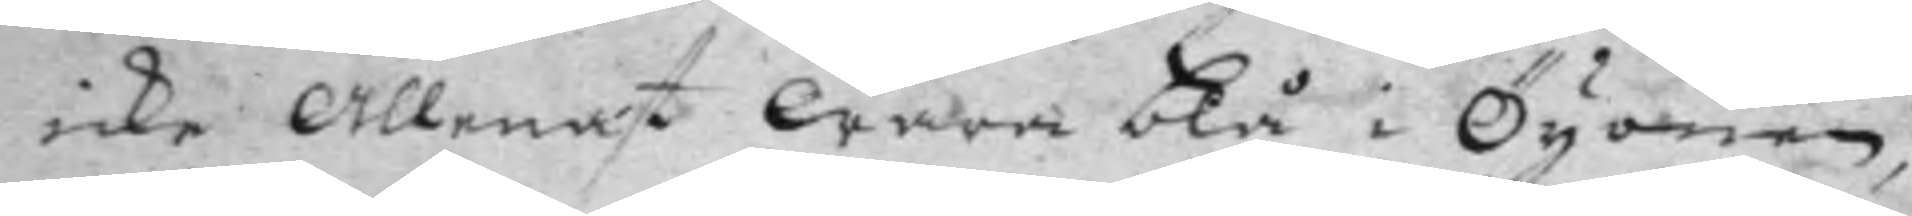icke allenast wara blå i Öginen,
